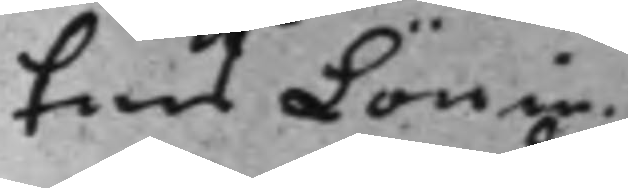tens Lönin¬
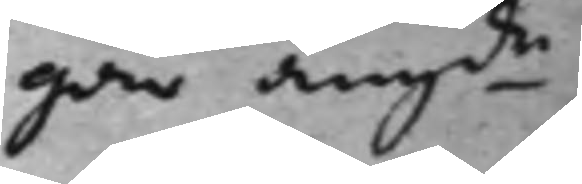gar angde
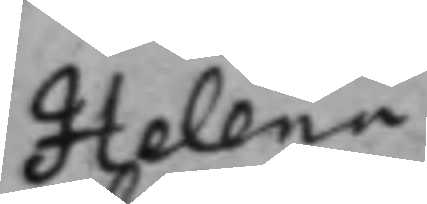Helena
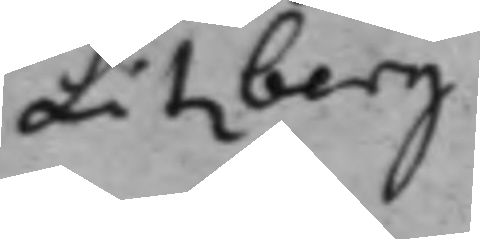Litzberg
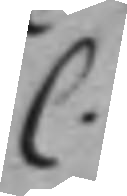C.
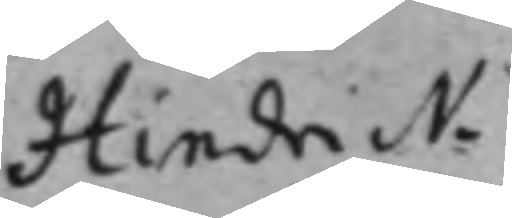Hindrick
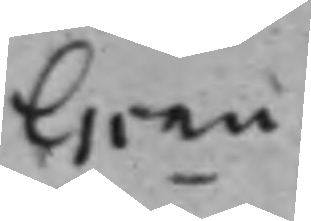Grau
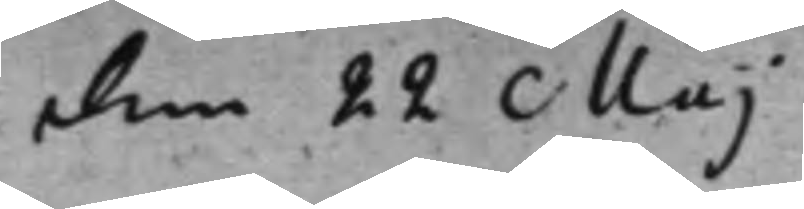den 22 Maj
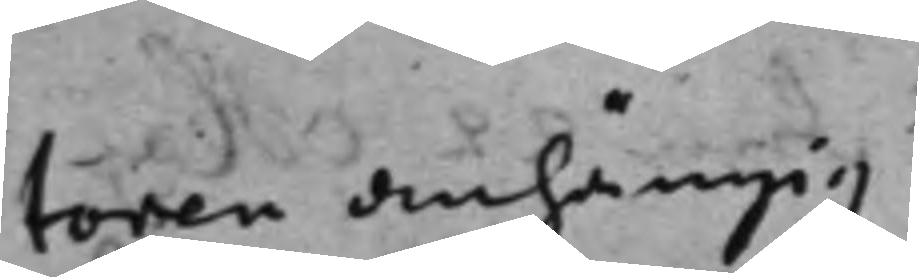toren anhängig
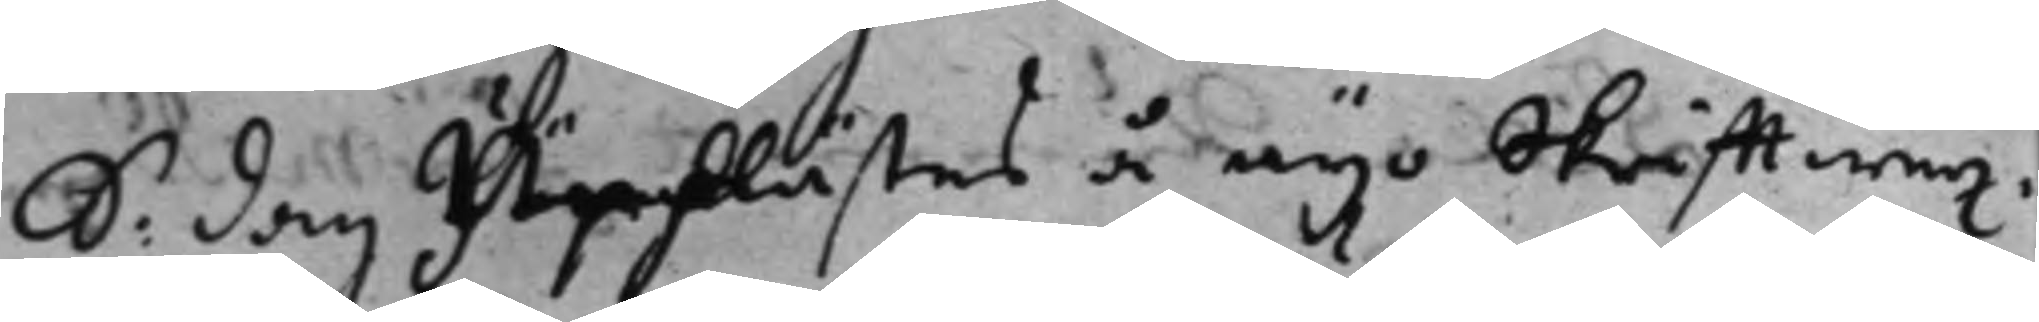S: dag Upplästes å nyo skrifftwex¬
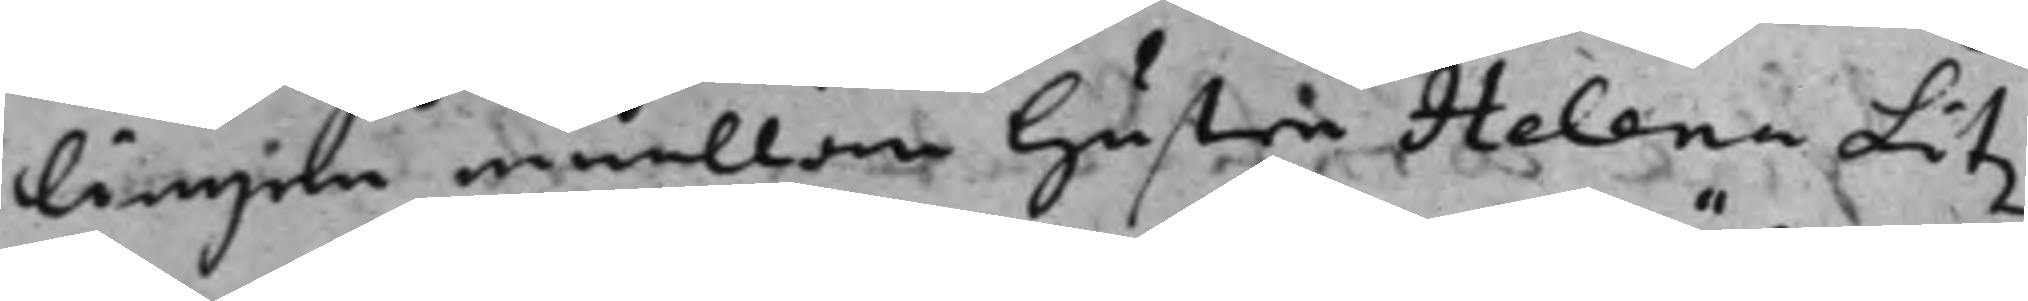lingen emellan hustru hustru Helena Litz¬
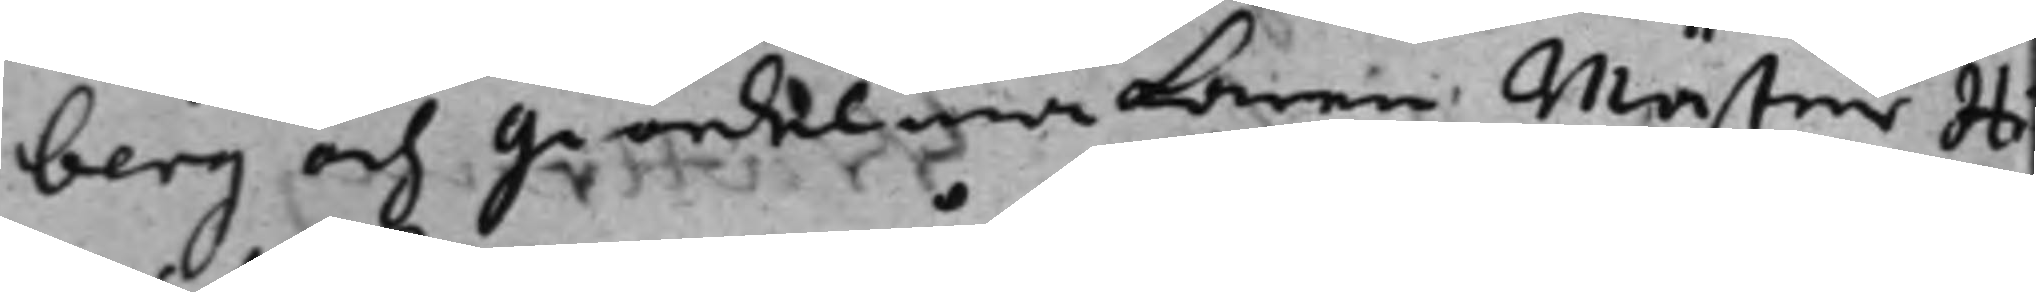berg och giördelmakaren Mäster Hi
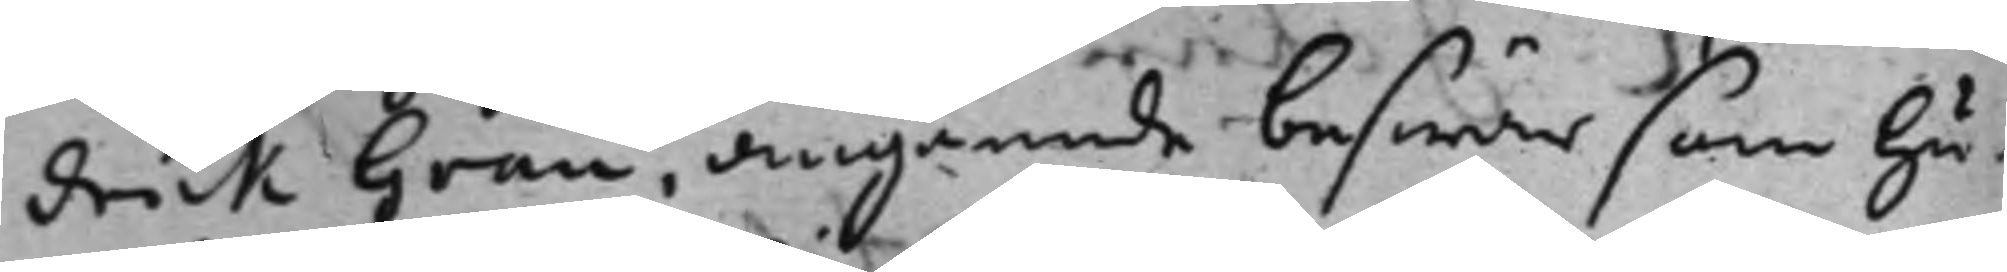drick Grau, angående beswär som hu¬
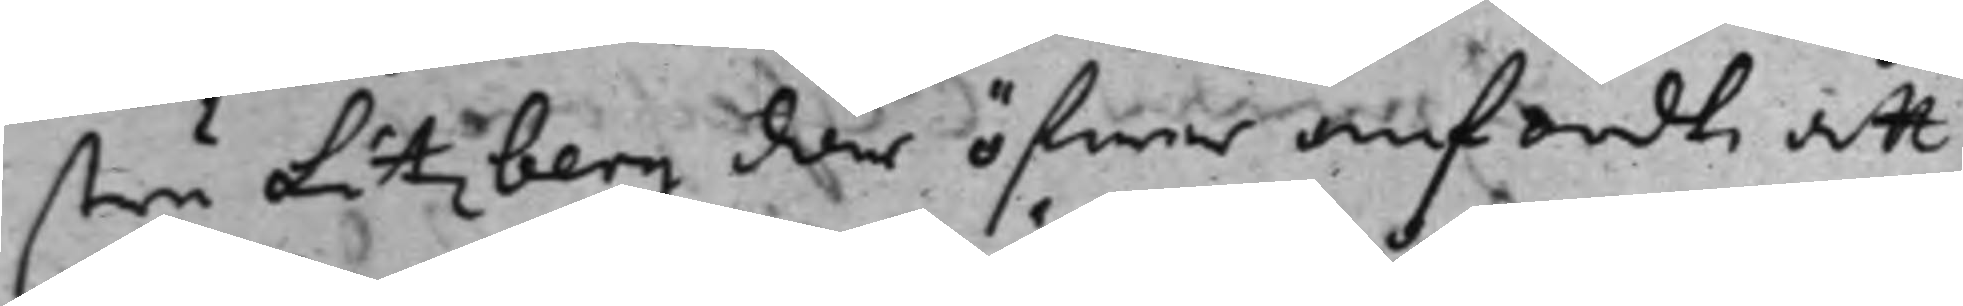stru Litzberg där öfwer anfördt att
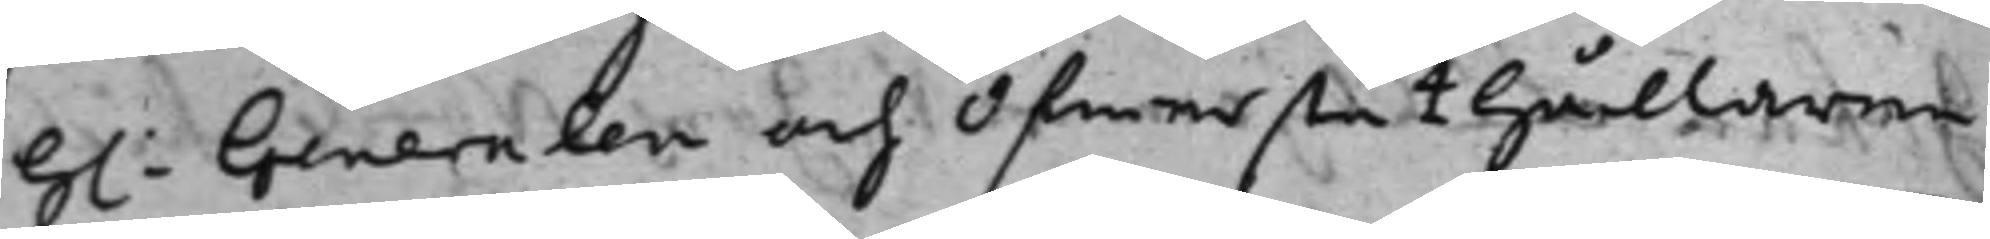h.: Generalen och öfwerståthållaren
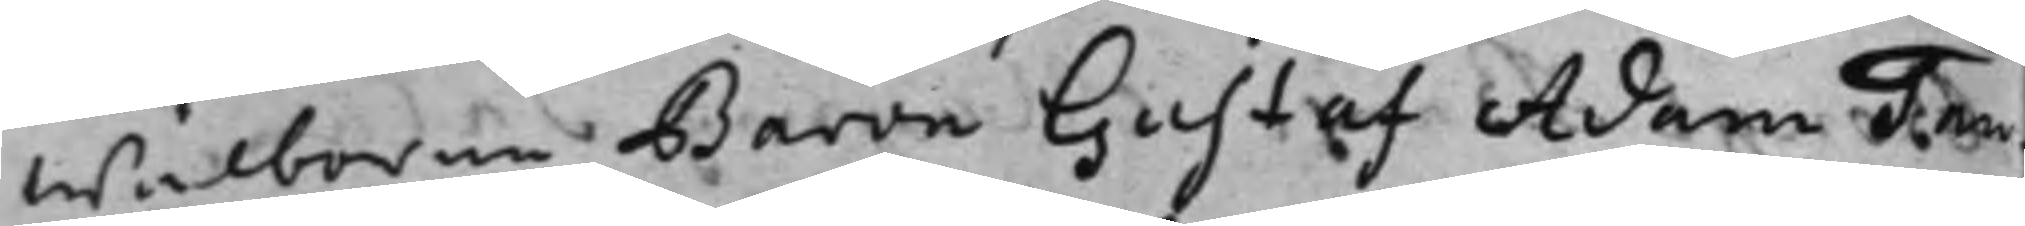wälborne Baron Gustaf Adam Tau¬
